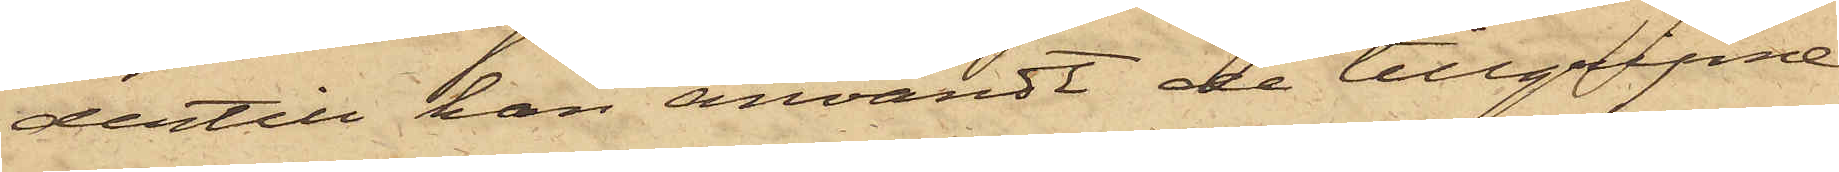dertill han användt de tillgripne
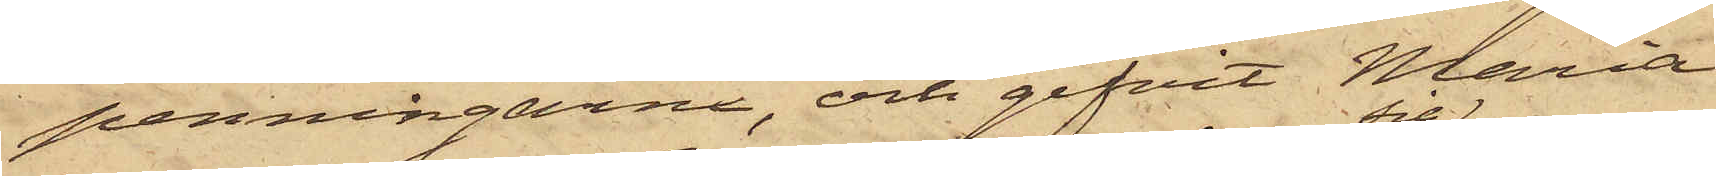penningarne, och gifvit Maria
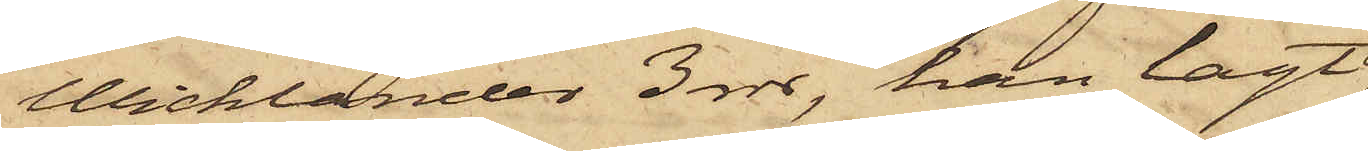Wicklander 3 rdr, han lagt
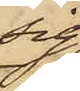sig
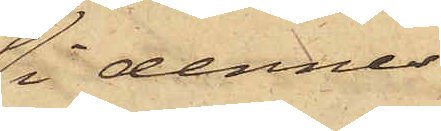i dennes
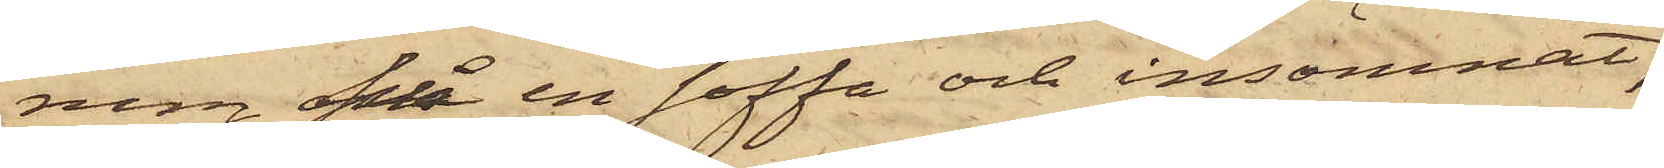rum på en soffa och insomnat,
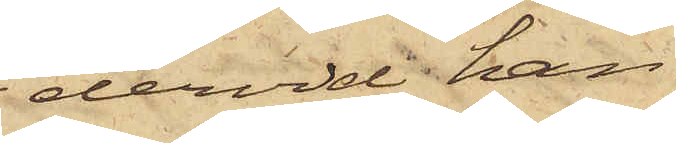dervid han
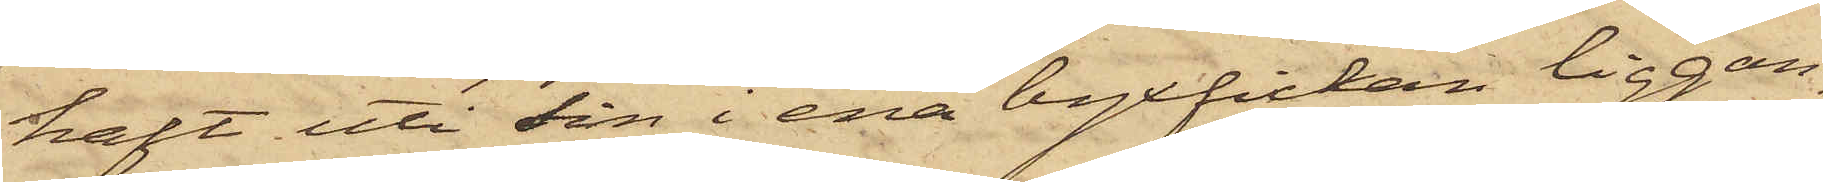haft uti sin i ena byxfickan liggan¬
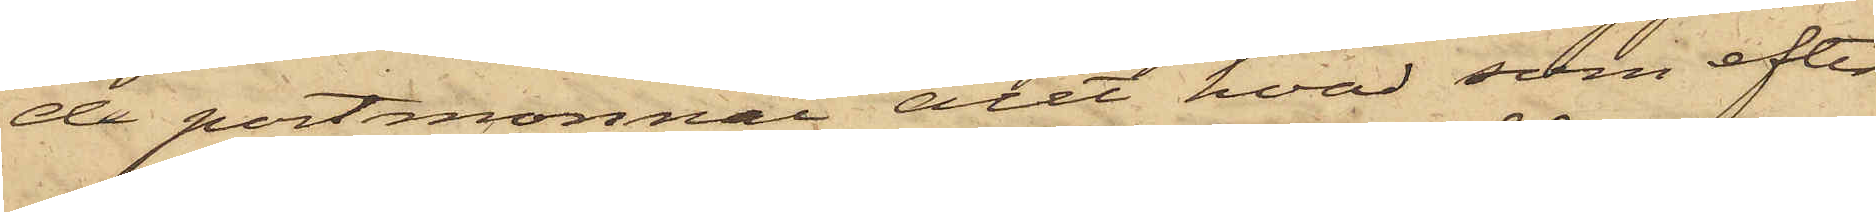de portmonnai allt hvad som efter
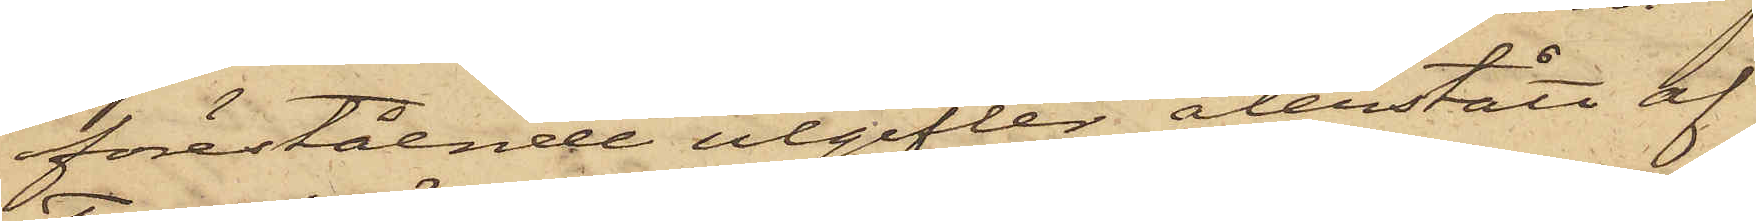förestående utgifter återstått af
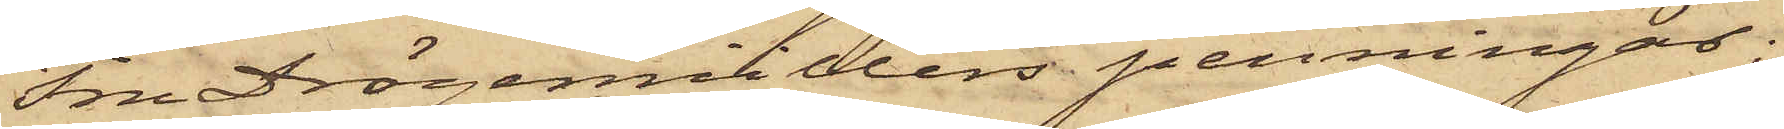Fru Drögemüllers penningar;
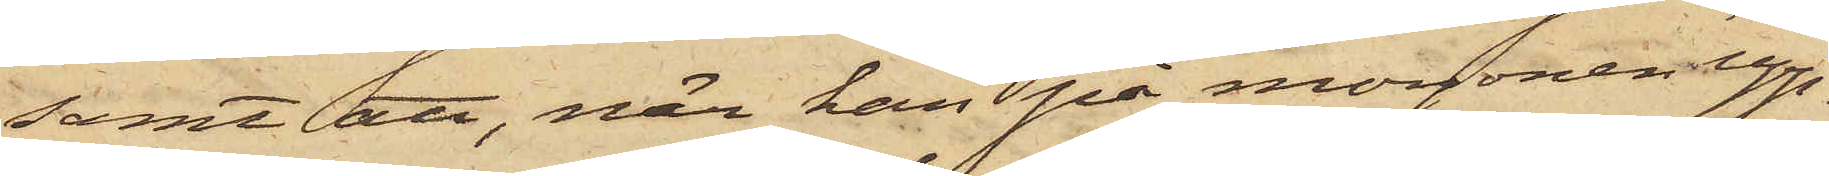samt att, när han på morgonen upp¬
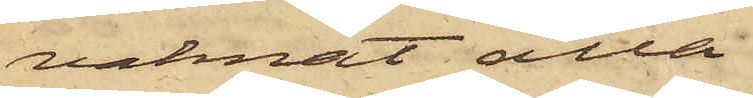vaknat alla
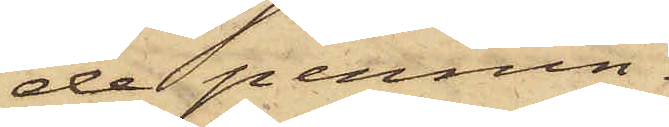de pennin¬
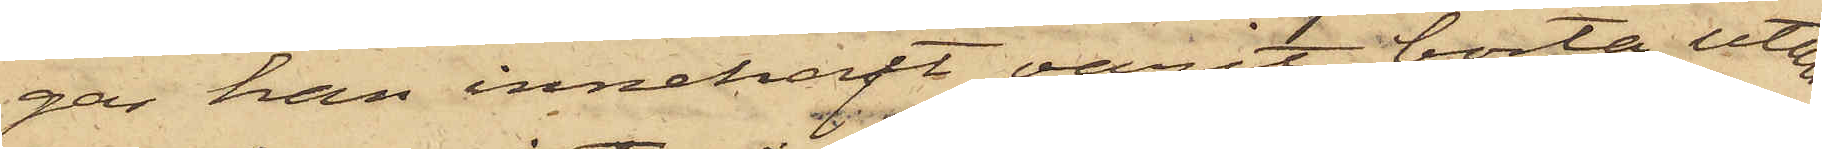gar han innehaft varit borta, utan
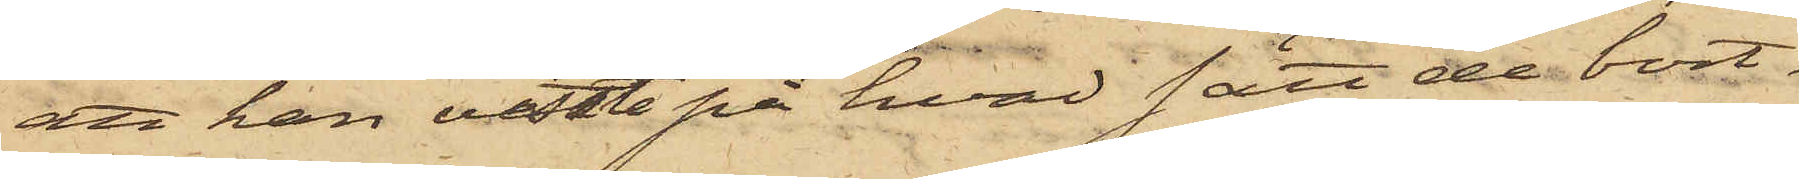att han visste på hvad sätt de bort¬
